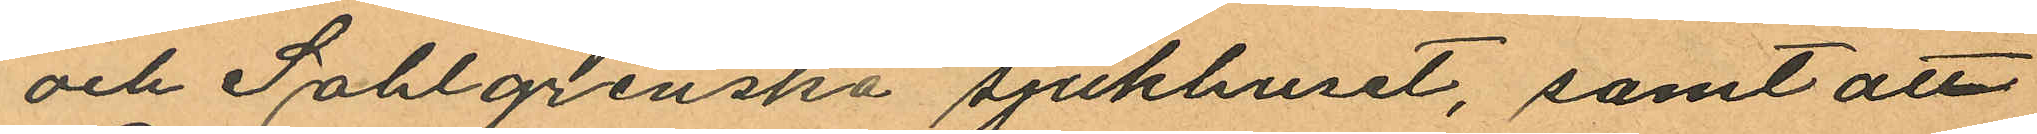och Sahlgrenska sjukhuset, samt att
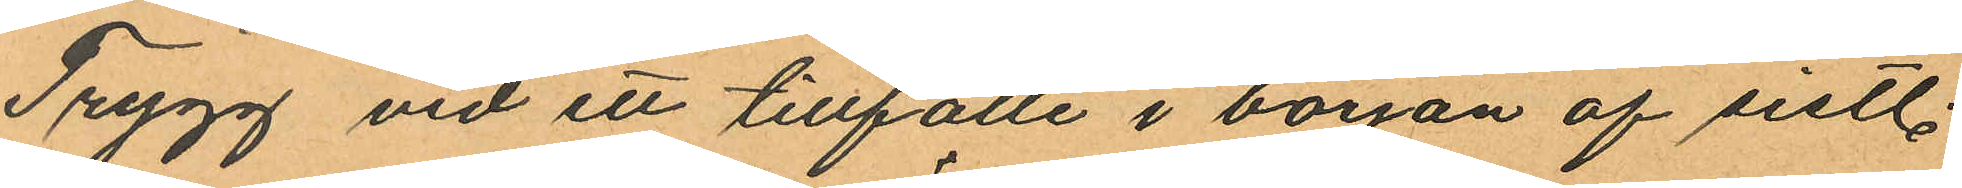Trygg vid ett tillfälle i början af sistl.
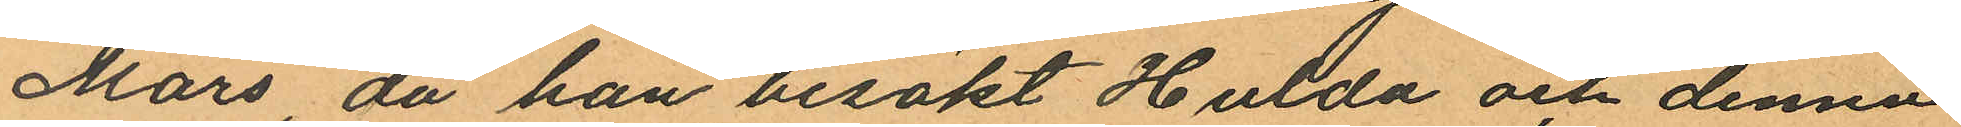Mars, då han besökt Hulda och denna
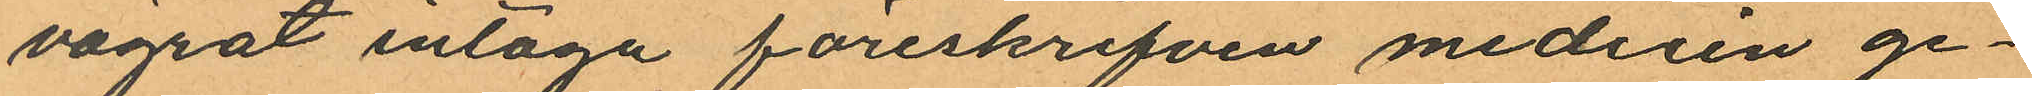vägrat intaga föreskrifven medicin ge¬
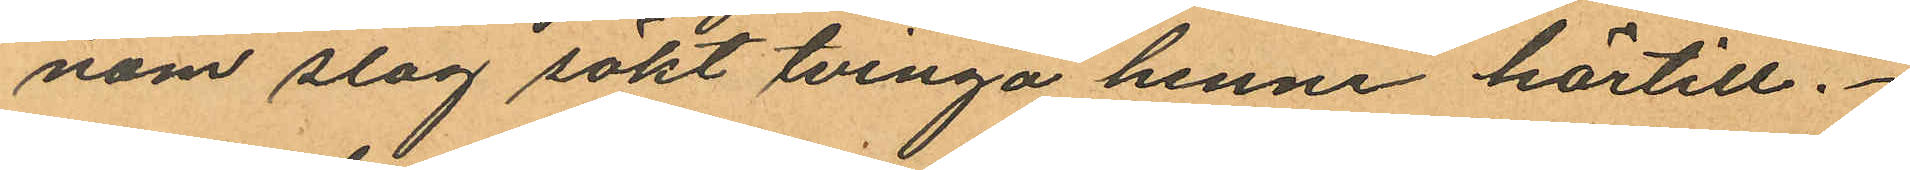nom slag sökt tvinga henne härtill.
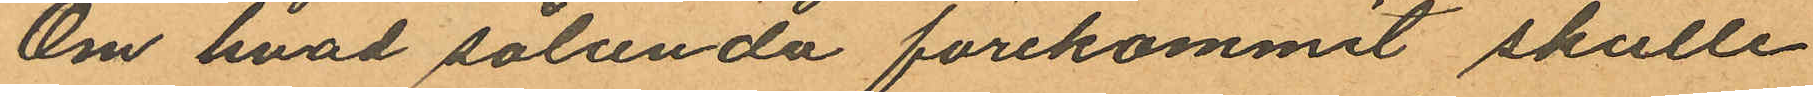Om hvad sålunda förekommit skulle
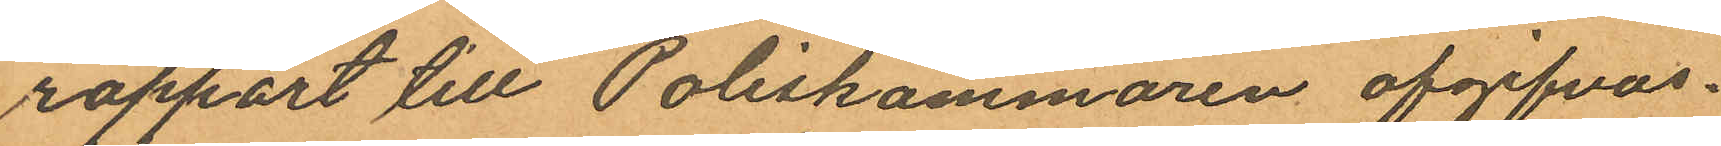rapport till Poliskammaren afgifvas.
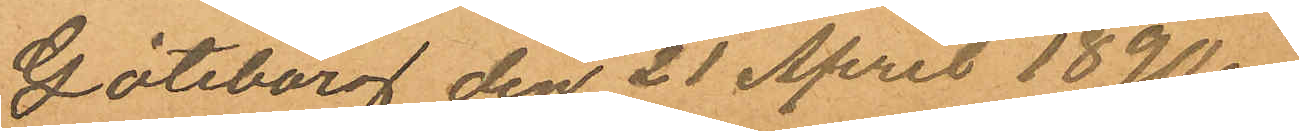Göteborg den 21 April 1890.
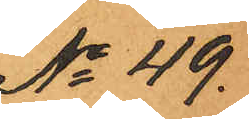No 49.
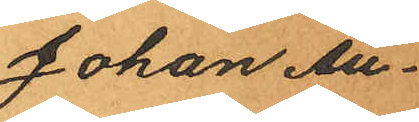Johan Au¬
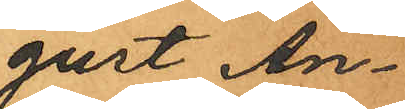gust An¬
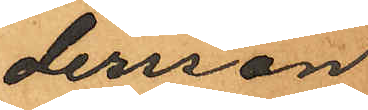dersson
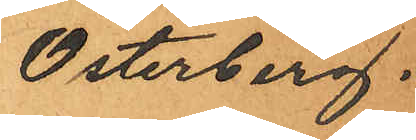Österberg.
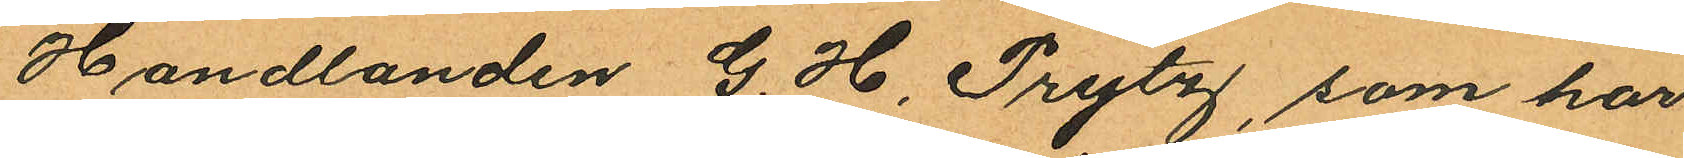Handlanden G. H. Prytz, som har
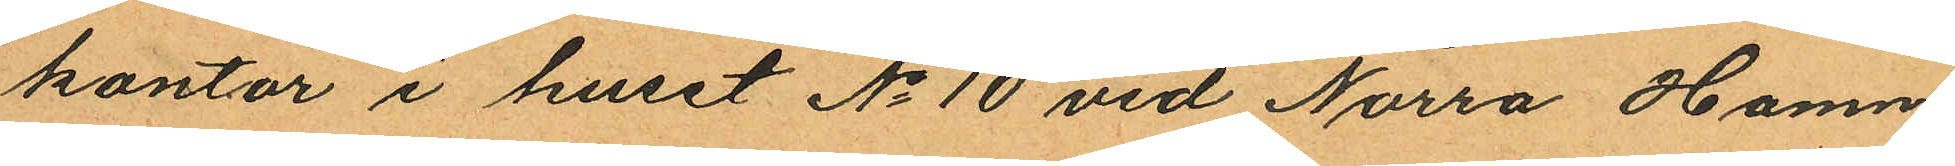kontor i huset No 10 vid Norra Hamn¬
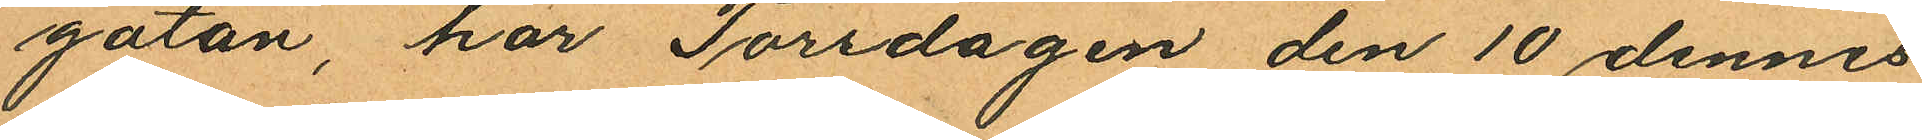gatan, har Torsdagen den 10 dennes
